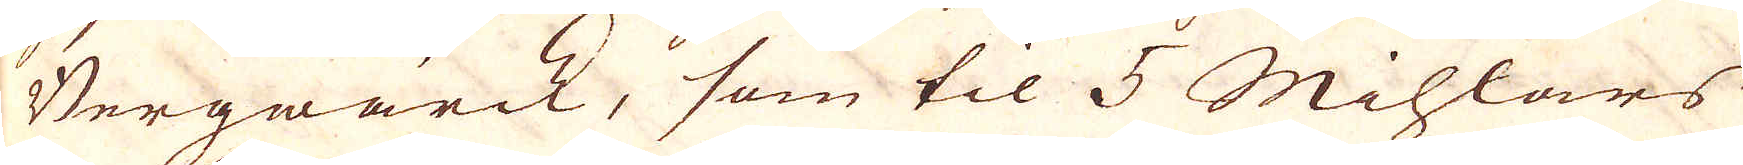Bergwärck, som til 5 Mihlars
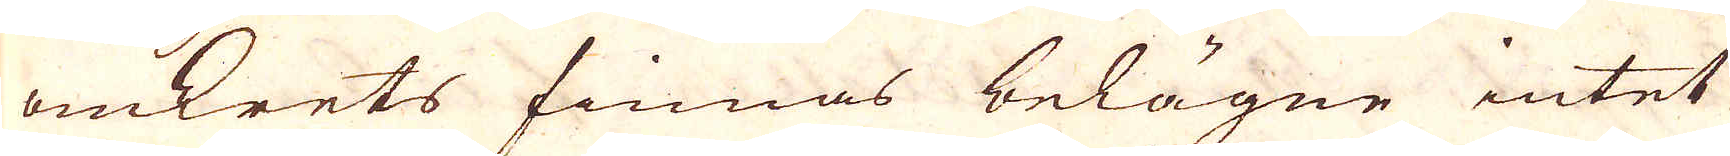omkrets finnas belägne intet
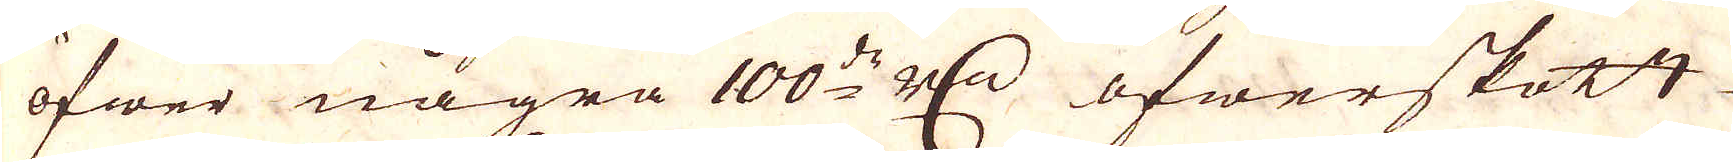öfwer några 100:ds r:dr öfwerskott
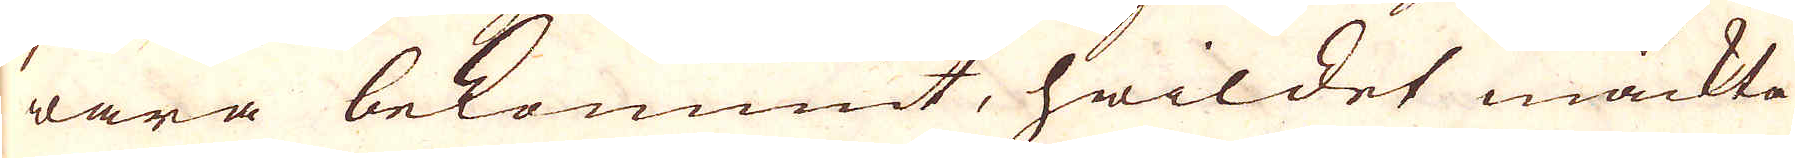wara bekommit, hwilket mäckta
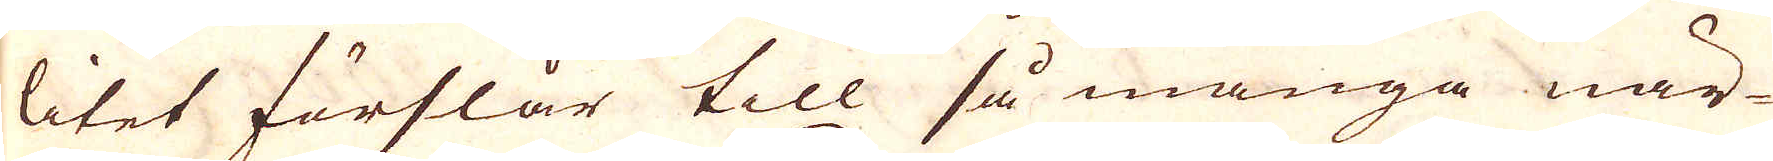litet förslår till så många när-
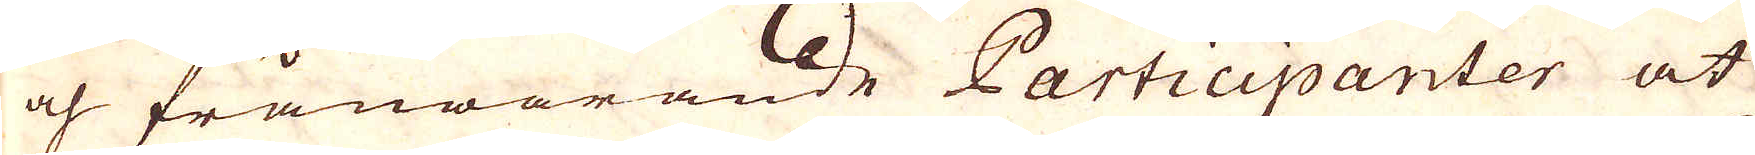och frånwarande Participanter at
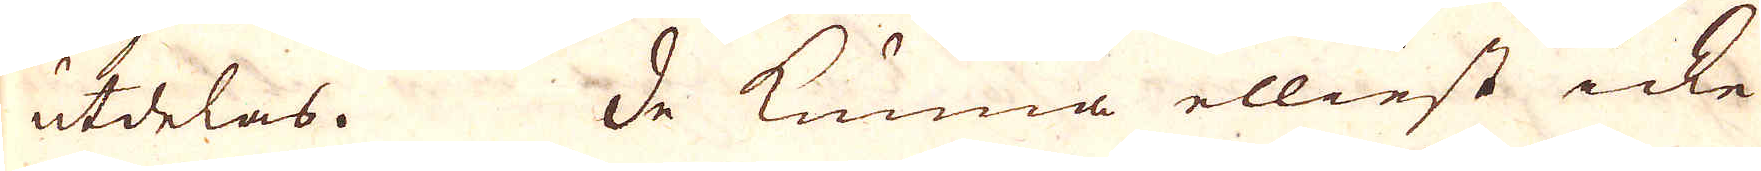utdelas. De kunna elliest icke
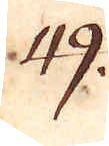49.
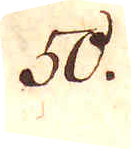50.
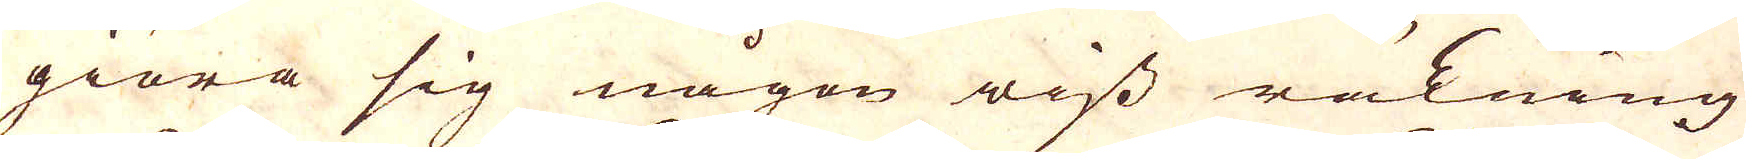giöra sig någon wiss räkning
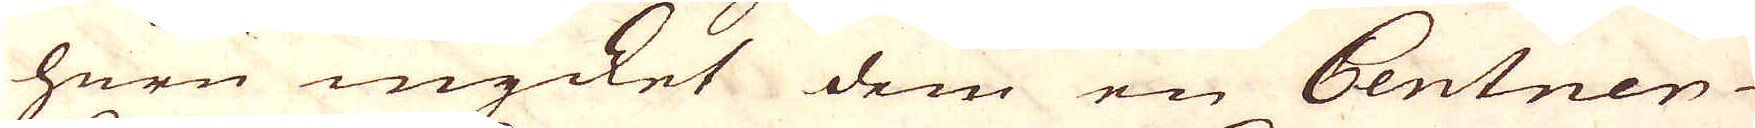huru mycket dem en Centner
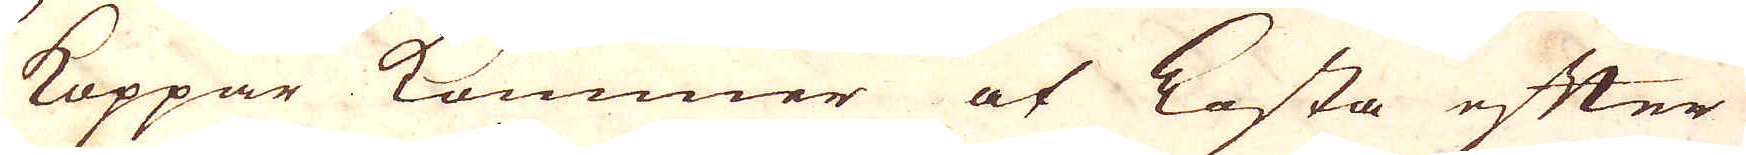Koppar kommer at Kosta efter
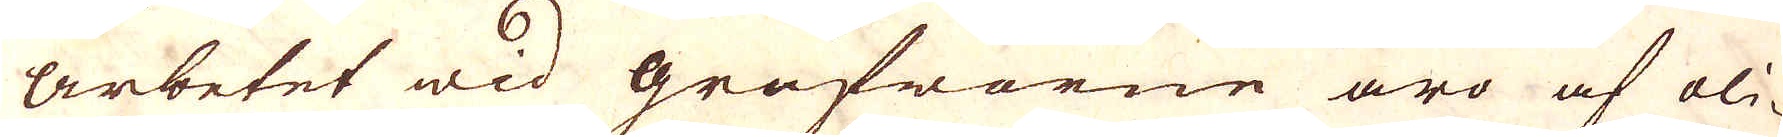Arbetet wid grufworne äro af li-
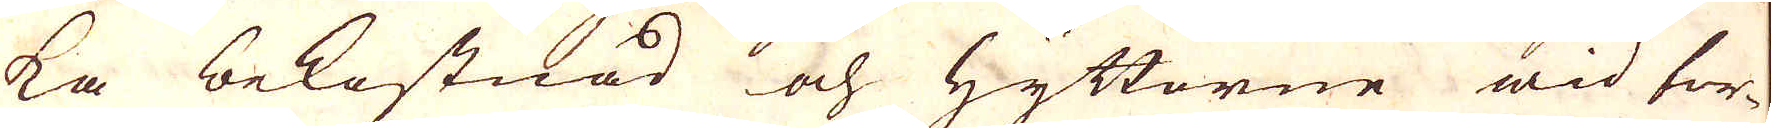ka bekostnad och Hyttorne wid tor-
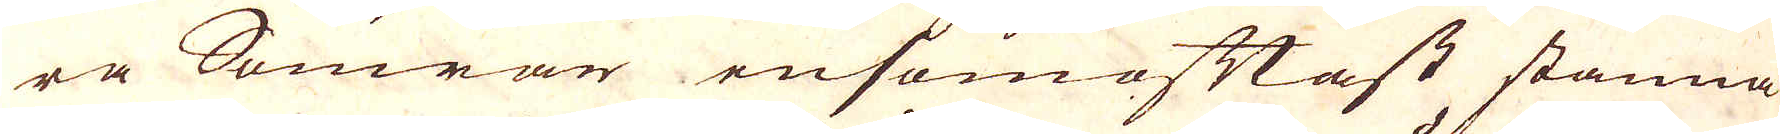ra Somrar ensomoftast stanna
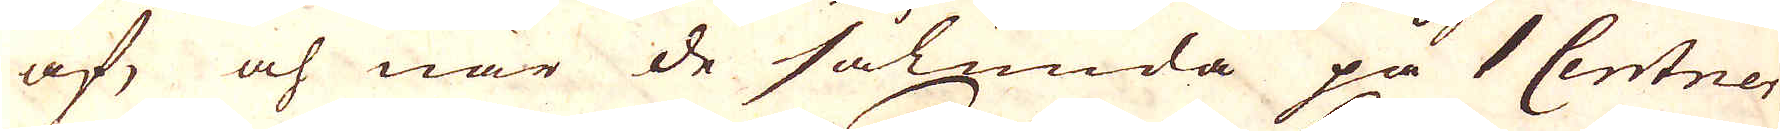af, och när de sålunda på 1 Centner
